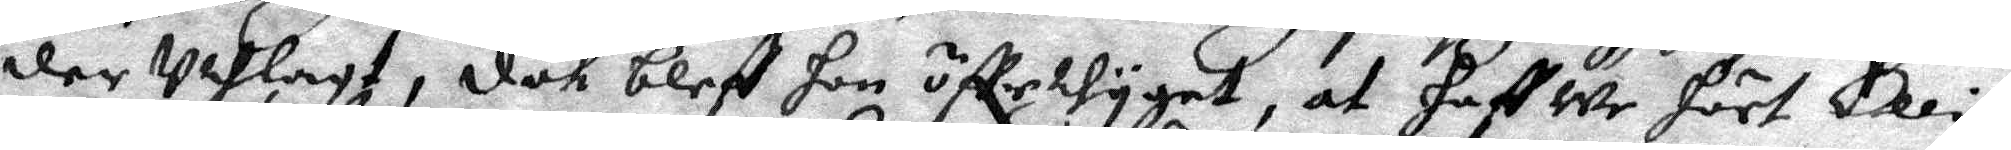der Uthlagt, dåk bleff hon öffertygat, at haffwe hört Ellin
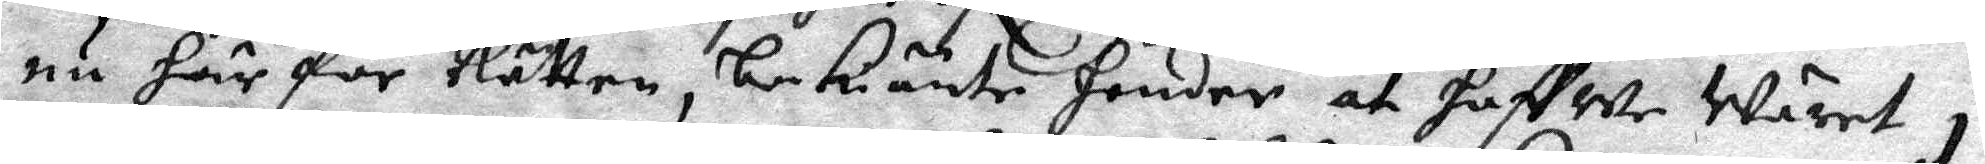nu här för Rätten, bekiänte hender at haffwe wäret i
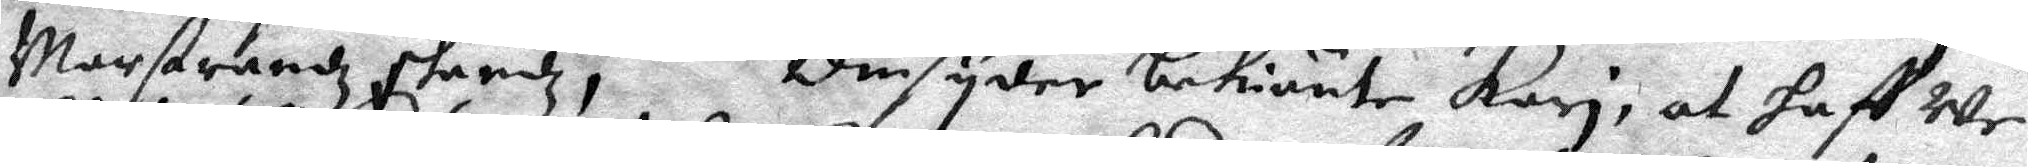Marstrandz skandz, Omsyder bekiänte Kari, at haffWe
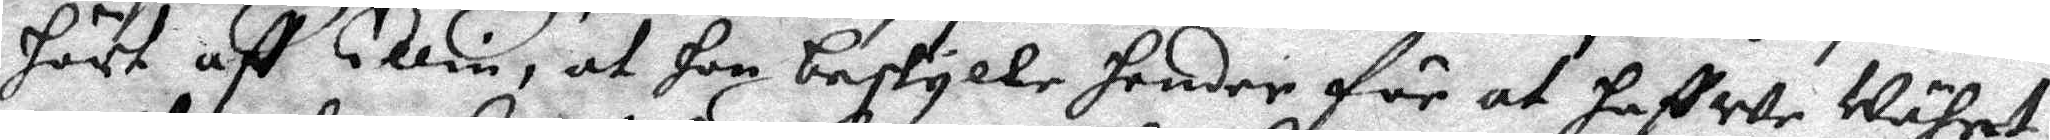hört aff Ellin, at hon beskylle hender för at haffWe Währet
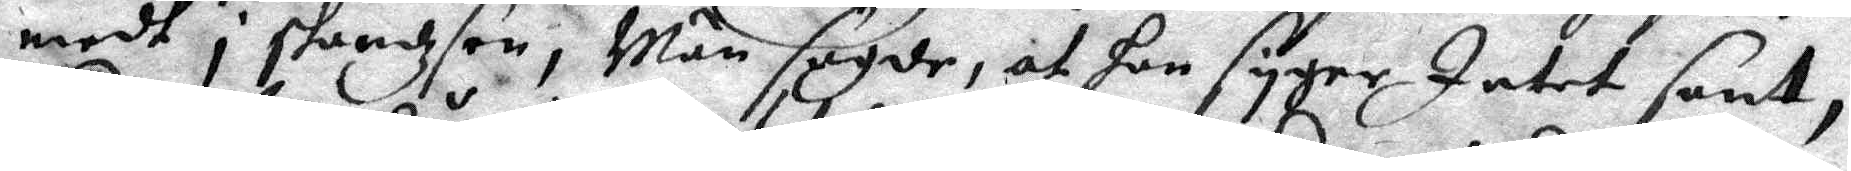medh i standzsen; Män sagde, at hon syger Intet sant,
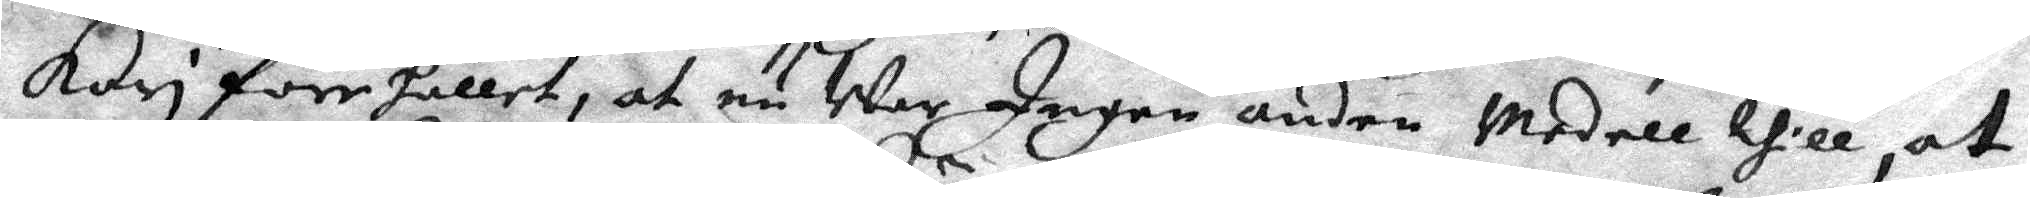Kari förehållet, at nu War Ingen andre Medell thill at
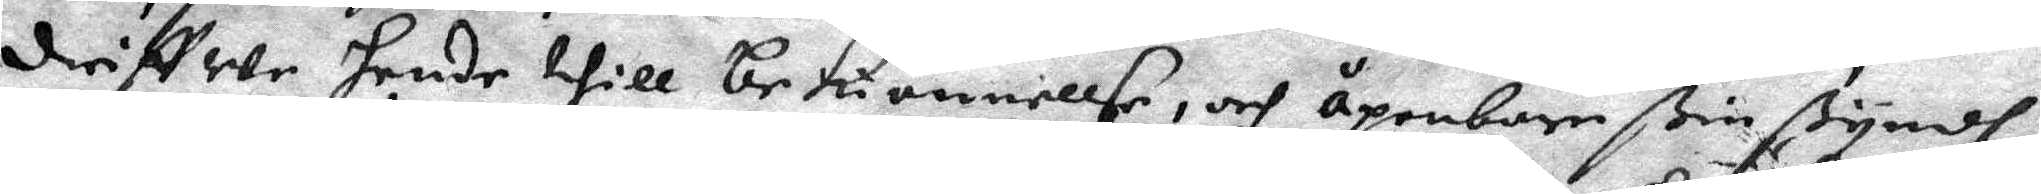driffwe hende thill bekiännellse, och åpenbare ßin ßyndh
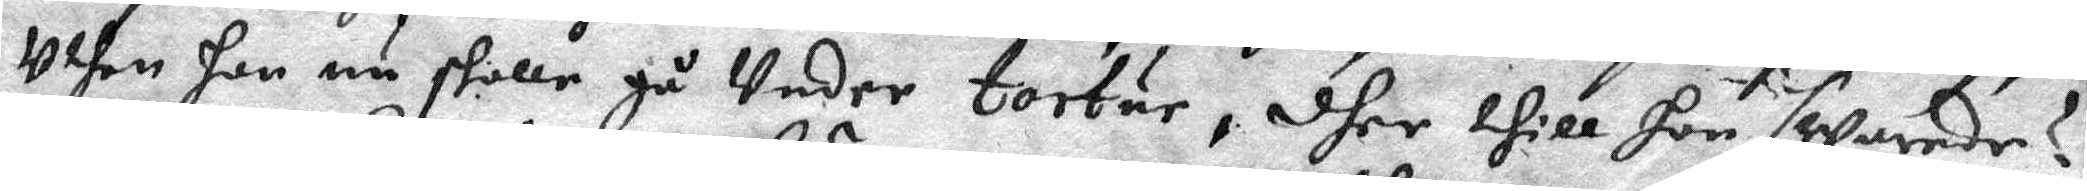uthan hon nu skulle gå Under tortur, dher thill hon swarede
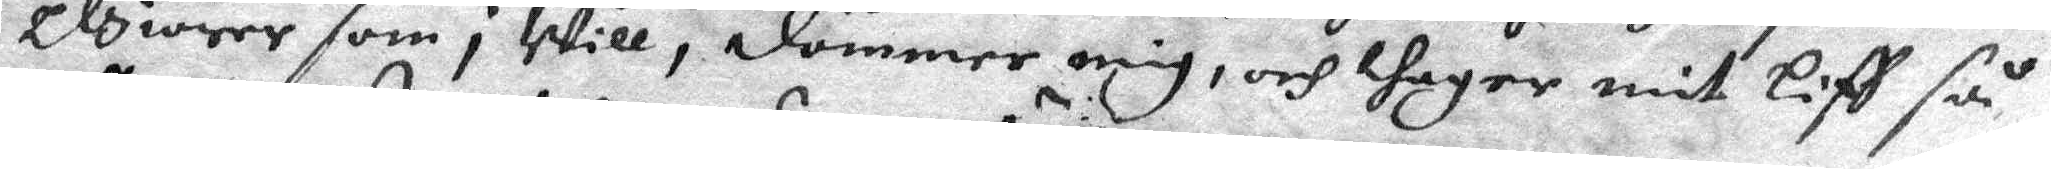elgiörer som i Will, dömmer mig, och thager mit Liff så
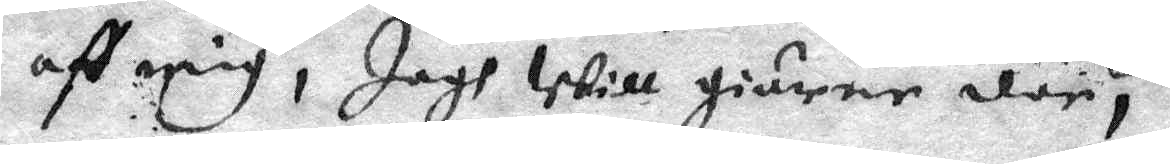aff mig, Jagh Will giärne där,
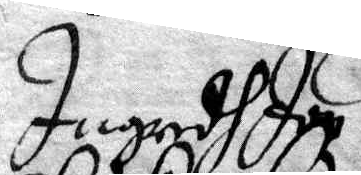Ingredh Jon 
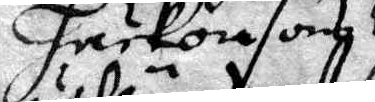Håckonson
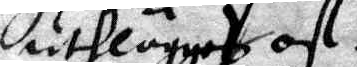uthlaggat af 
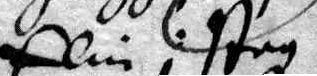Elin i staz¬
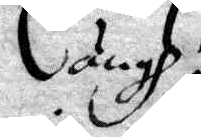ängh 
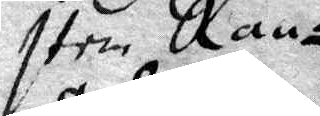Item Ran¬
